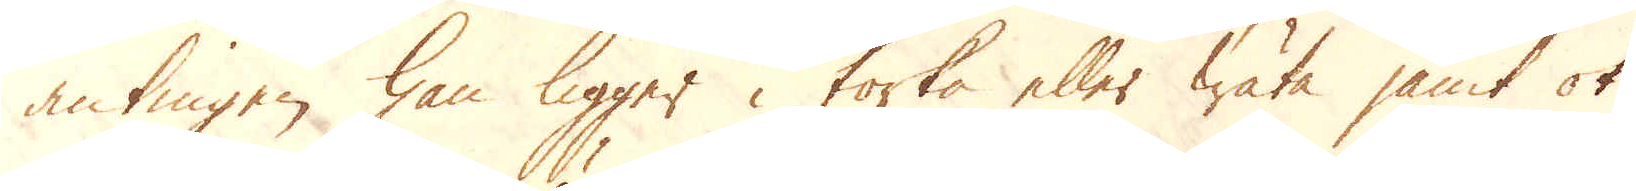antingen han ligger i torka eller wäta jämt ok
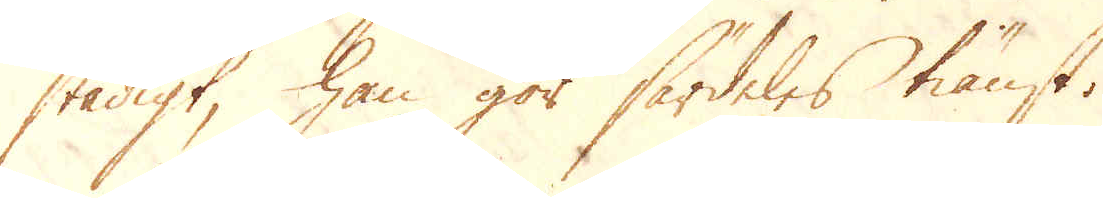stadigt, han gör särdeles tiänst.
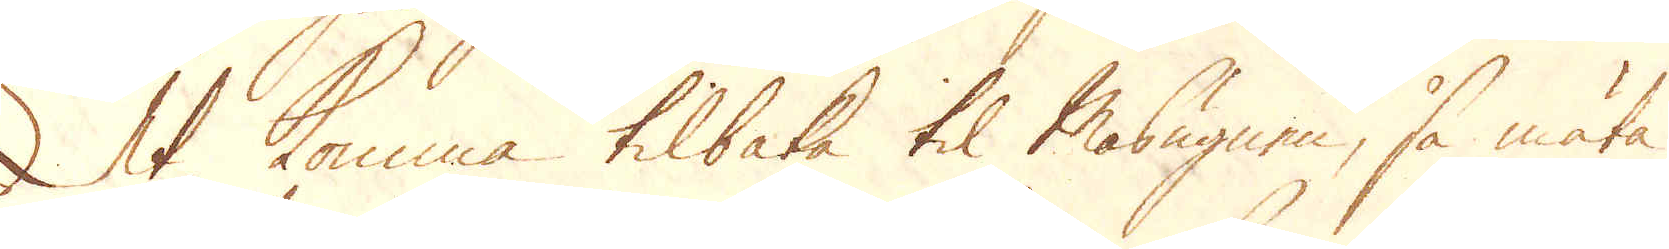At komma tilbaka til Masugnen, så mäta
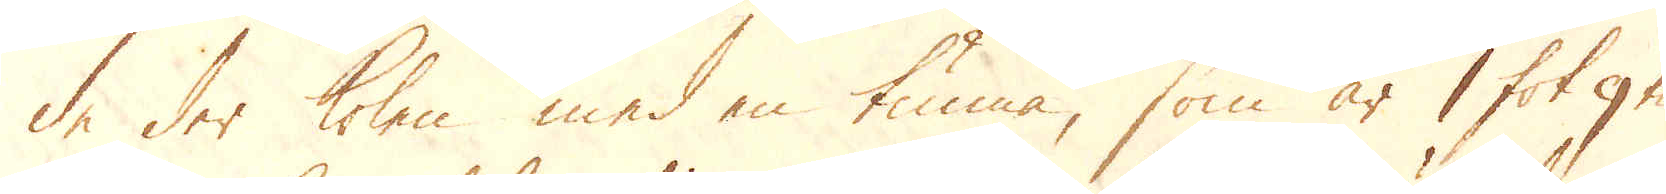de der kolen med en tunna, som är 1 fot 9 tum
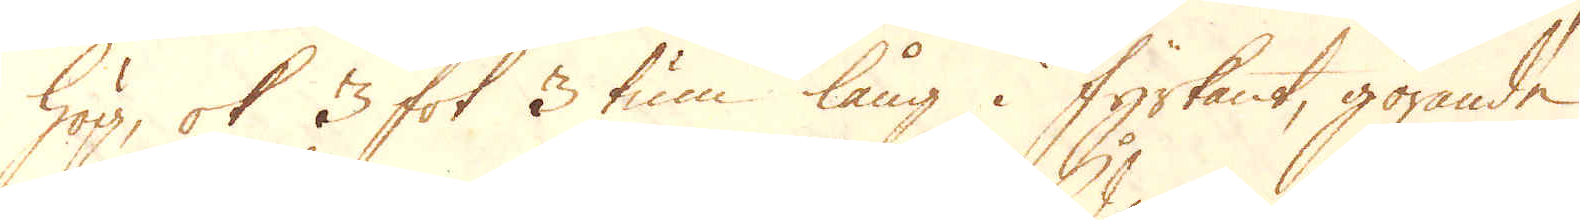hög, ok 3 fot 3 tum lång i fyrkant, görande
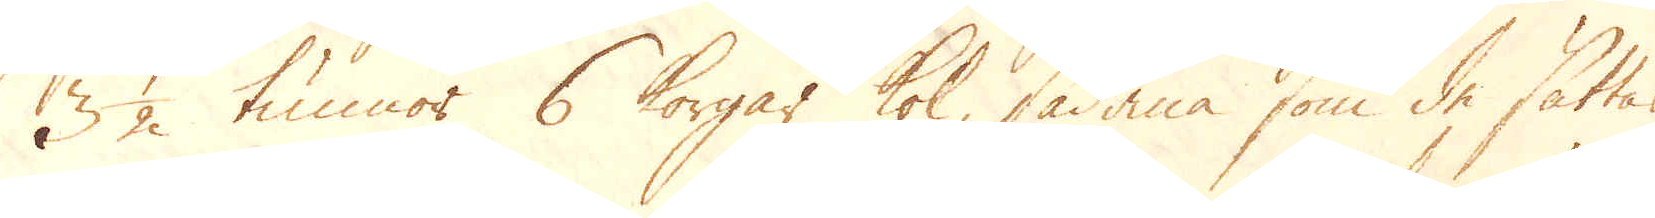3 1/2 tunnor 6 korgar kol, sådana som de sättas
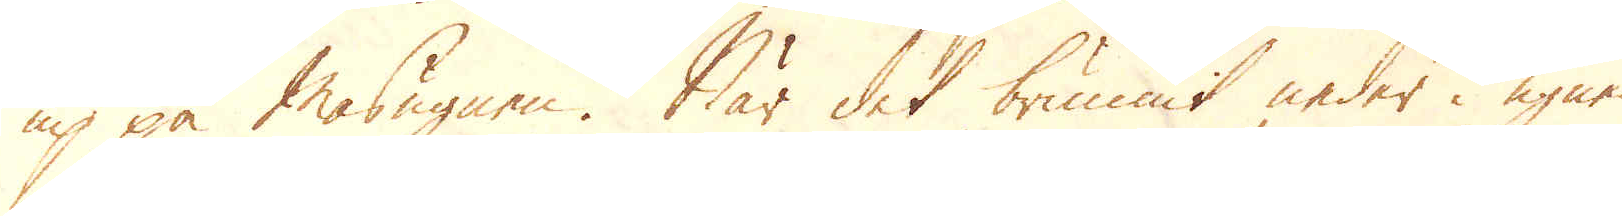up på Masugnen. När det brunnit neder i ugnen
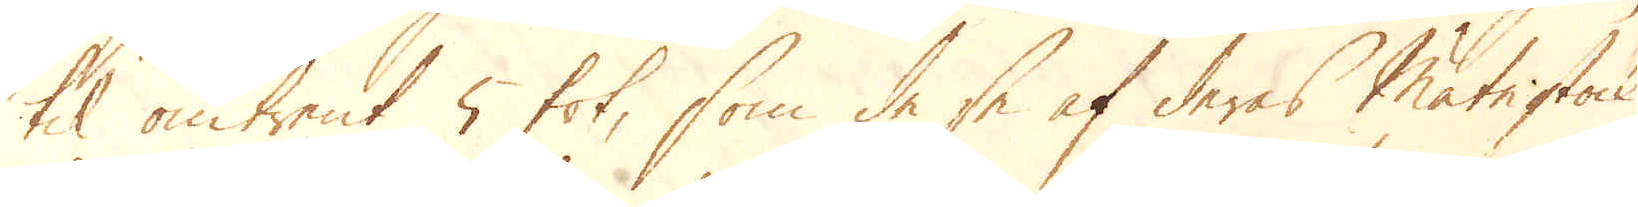til omtrent 5 fot, som de se af deras Mätestock,
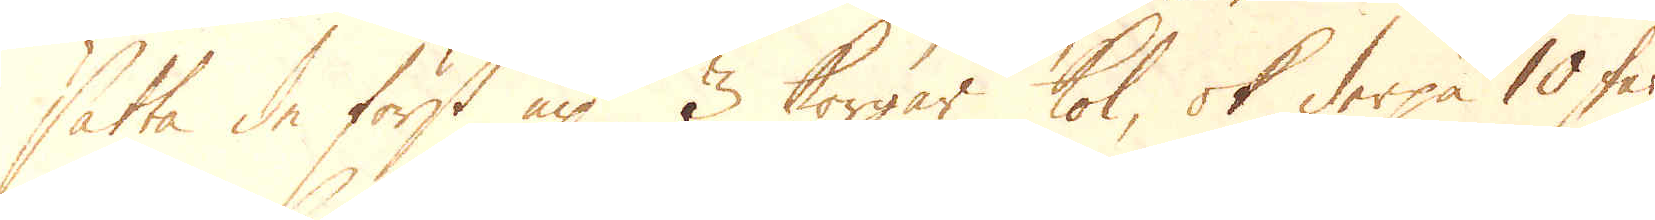sätta de först up 3 korgar kol, ok derpå 10 fat
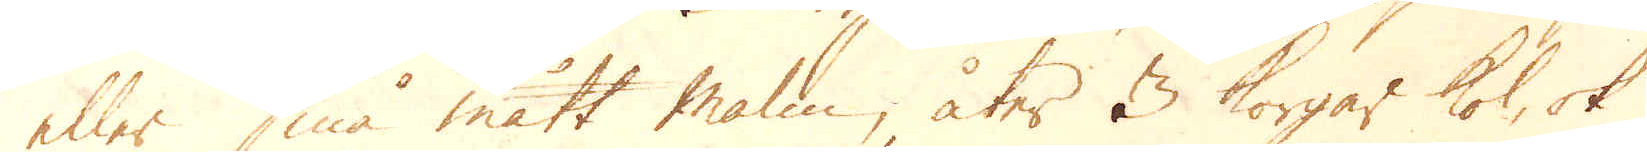eller små mått malm, åter 3 korgar kol, ok
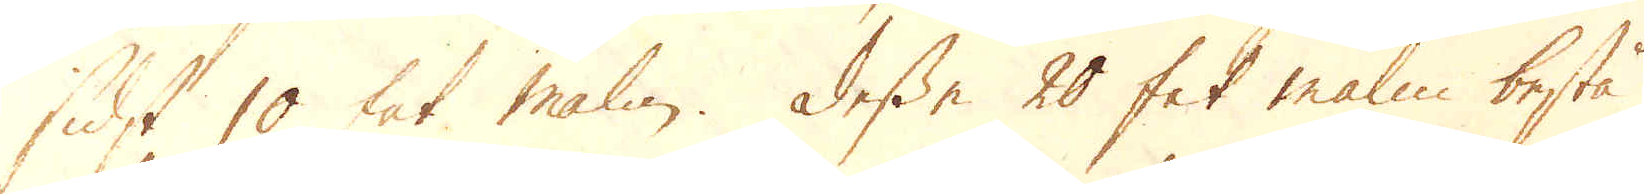sidst 10 fat malm. Desse 20 fat malm bestå
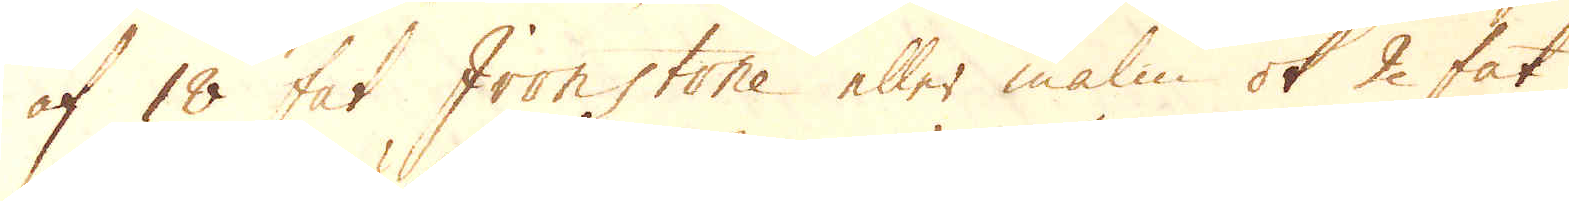af 18 fat Iron stone eller malm ok 2 fat
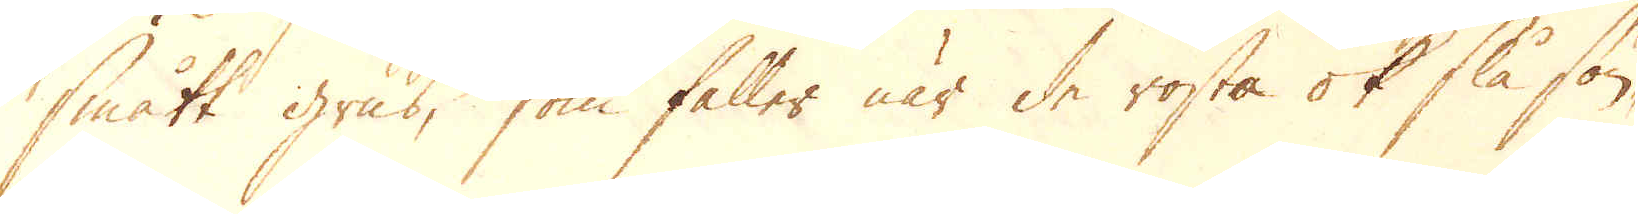smått grus, som faller när de rosta ok slå sön-
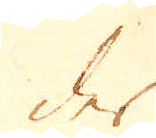der
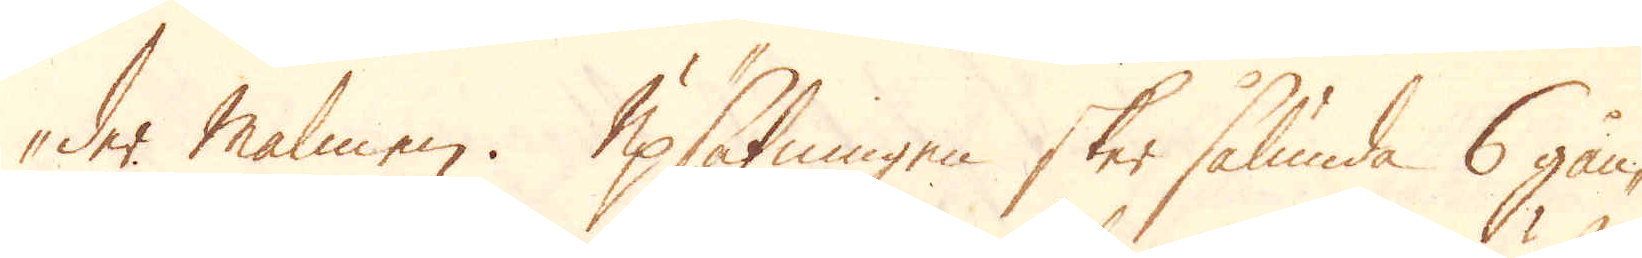-der malmen. Upsättningen sker sålunda 6 gån-
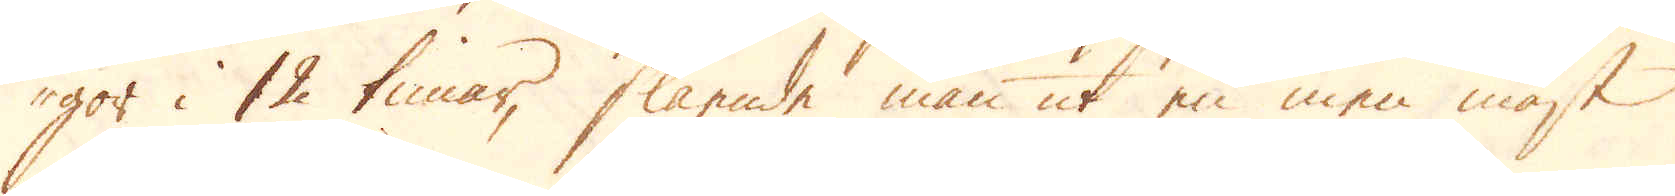gor i 12 timar, slående man ut en men mäst
